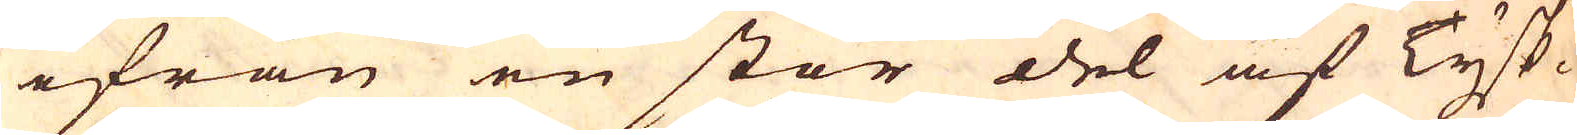ifrån en stor del af Tysk-
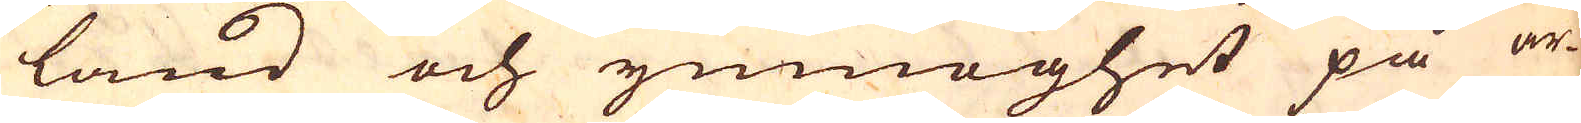land och ymnoghet på ar-
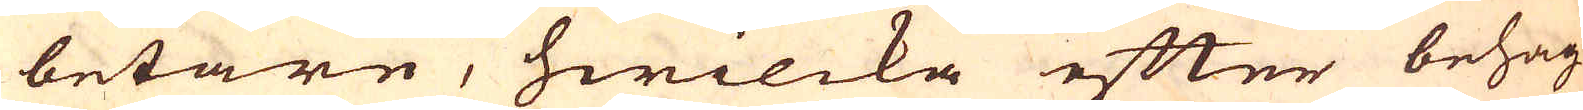betare, hwilcka efter behag
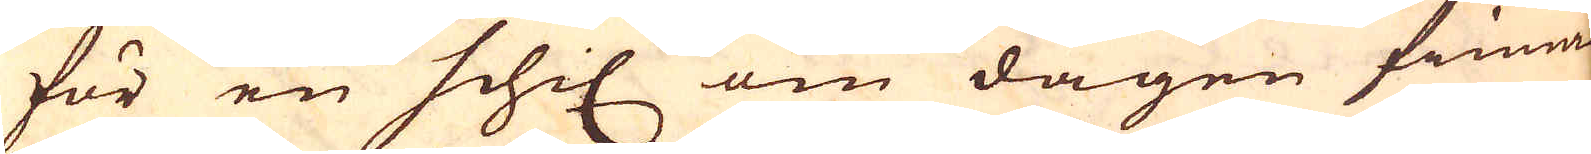för en schil om dagen finnas
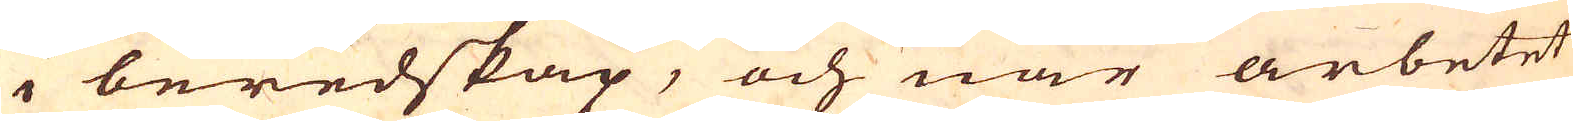i beredskap, och när arbetet
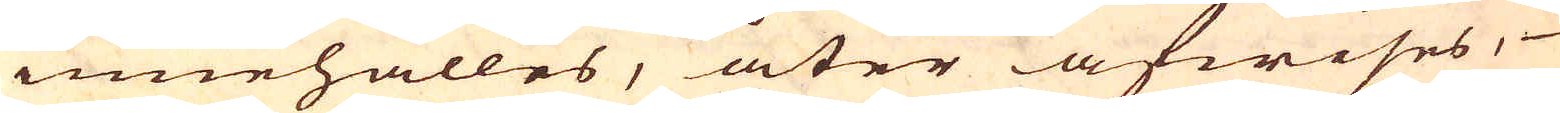innehålles, åter afwises,
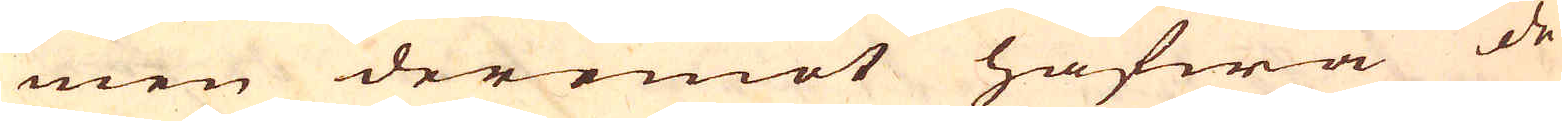men deremot hafwa de
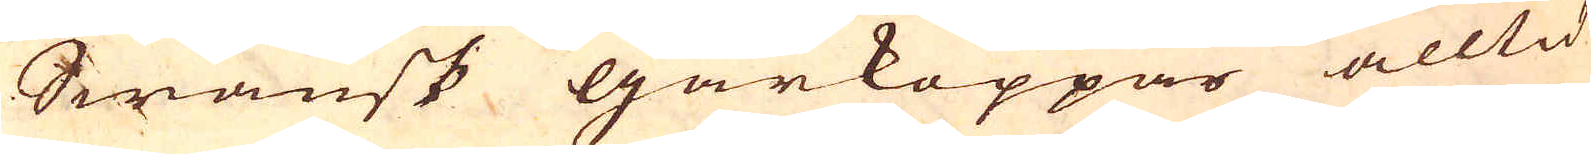Swänsk gårkoppar alltid
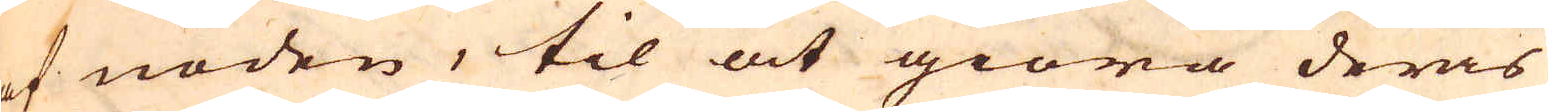af nöden, til at giöra deras
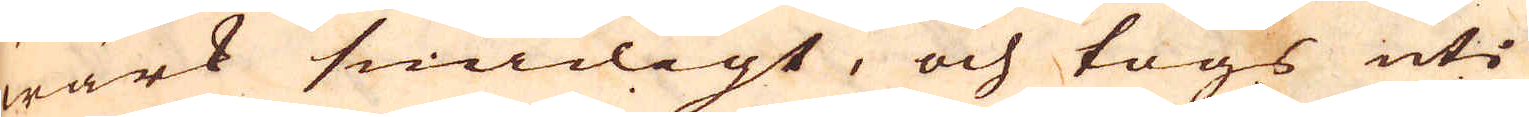wärk smidigt, och togs uti
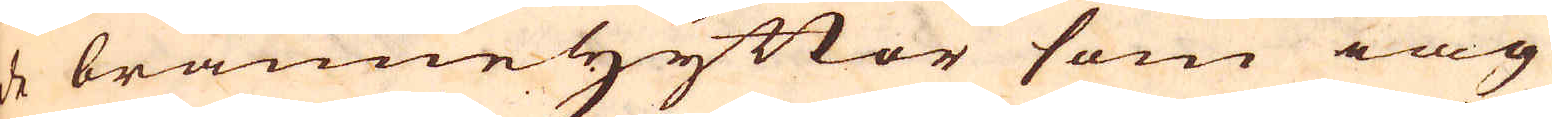de bränneHyttor som iag
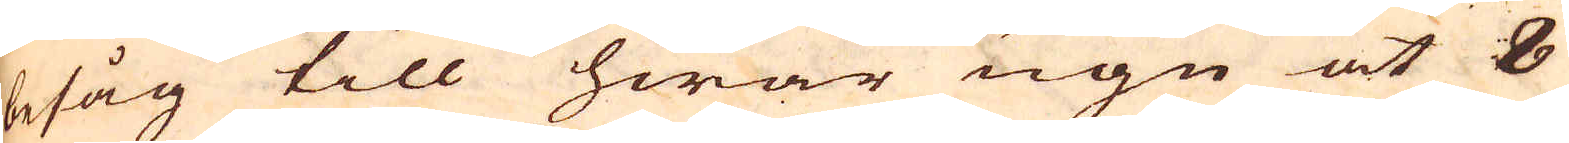besåg till hwar ugn at 8
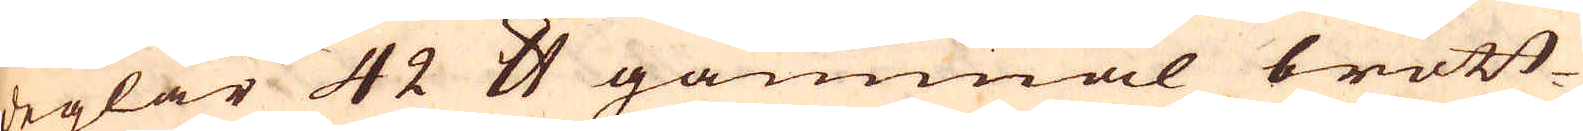deglar 42 skålpund gammal brott-
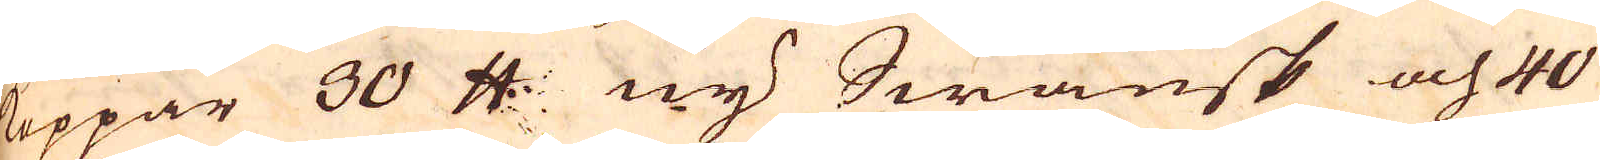Koppar 30 skålpund ny Swänsk och 40
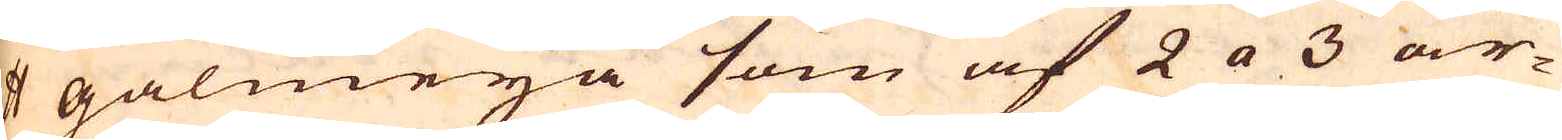skålpund galmeja som af 2 a 3 ar-
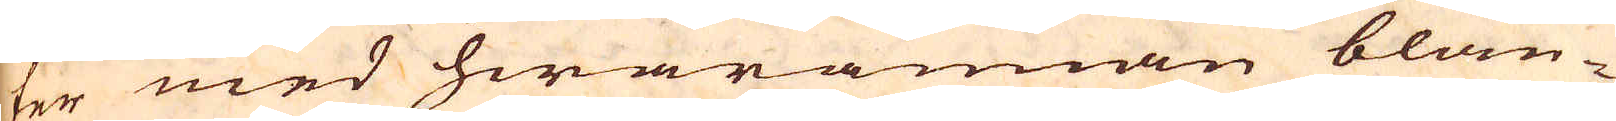ter med hwarannan blan-
